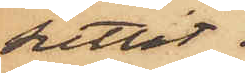suttit.
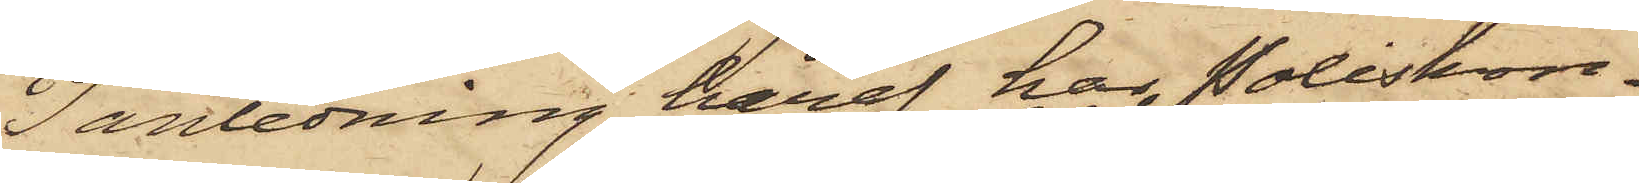I anledning häraf har Poliskon¬
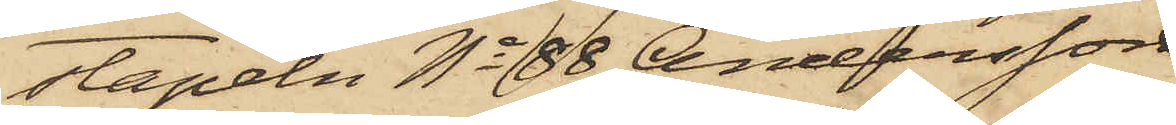stapeln No 88 Andersson
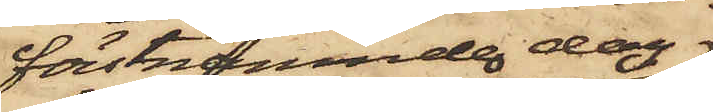förstnämnde dag
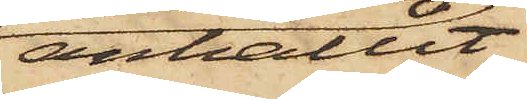anhållit
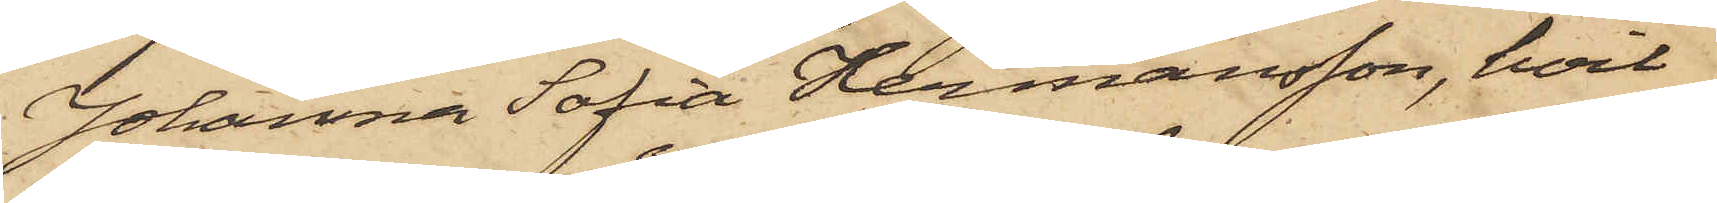Johanna Sofia Hermansson, hvil¬
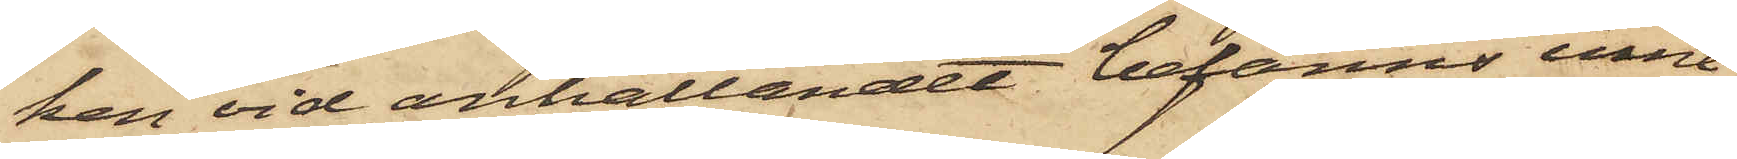ken vid anhållandet befanns inne¬
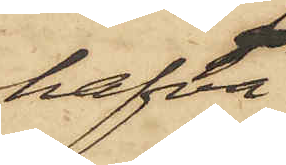hafva
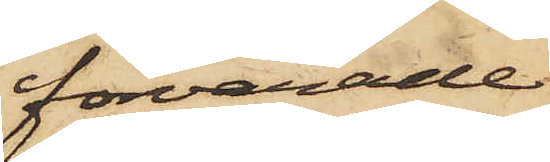förvarade
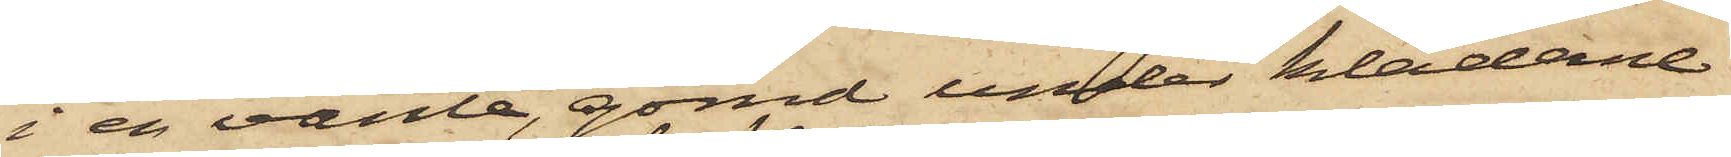i en vante, gömd under kläderne
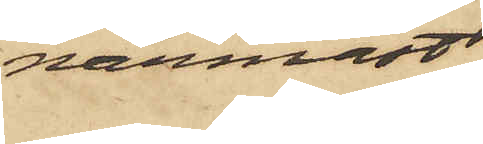närmast
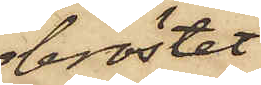bröstet,
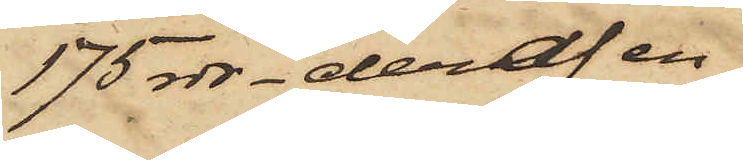175 rdr. deraf en
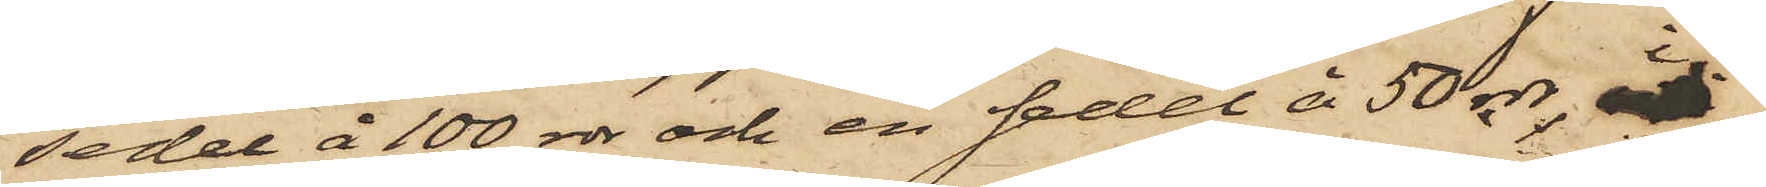sedel å 100 rdr och en sedel å 50 rdr, i
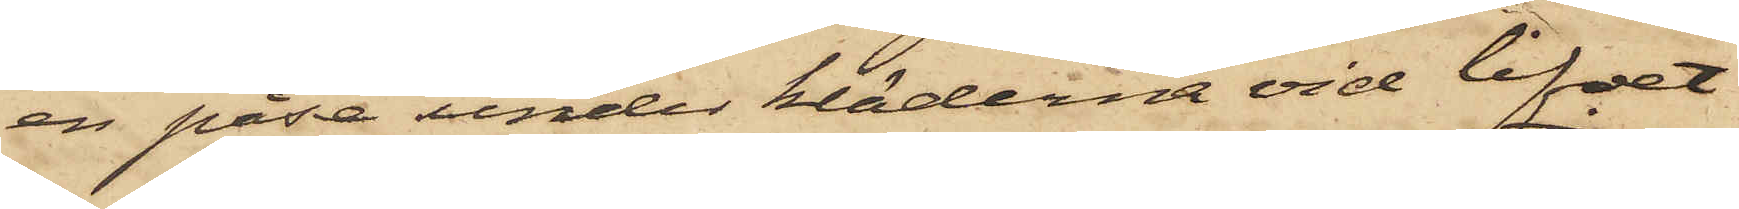en påse under kläderna vid lifvet
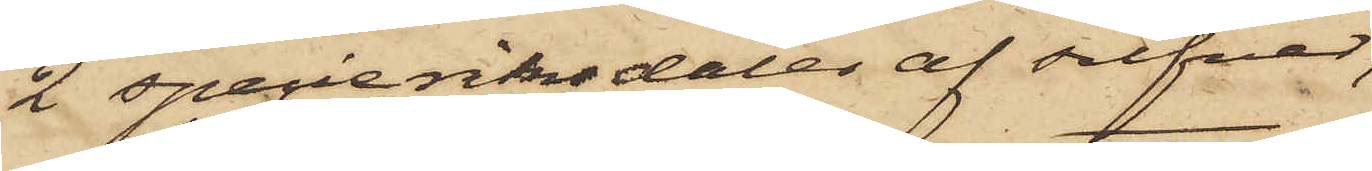2 specieriksdaler af silfver,
